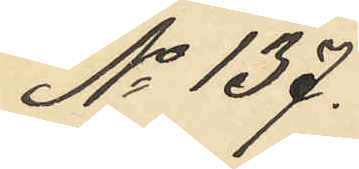No 137.
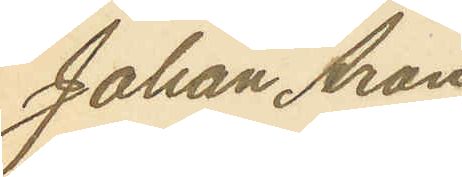Johan Aron
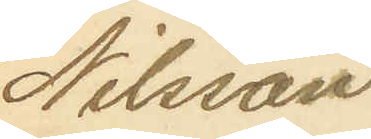Nilsson
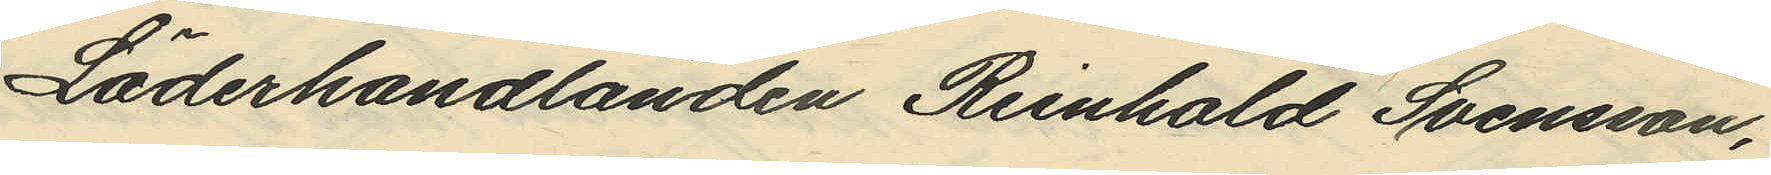Läderhandlanden Reinhold Svensson,
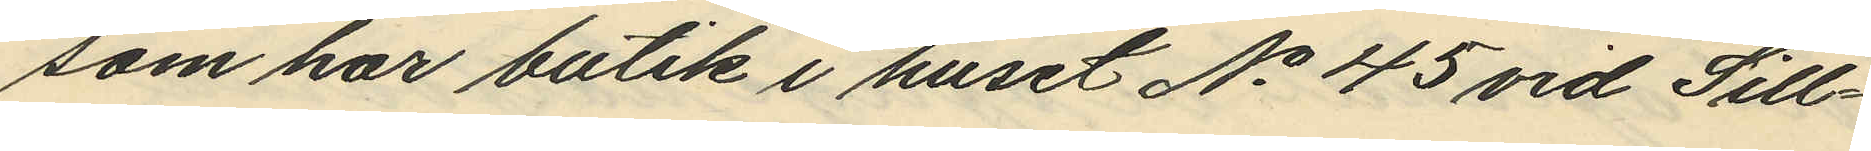som har butik i huset No 45 vid Sill¬
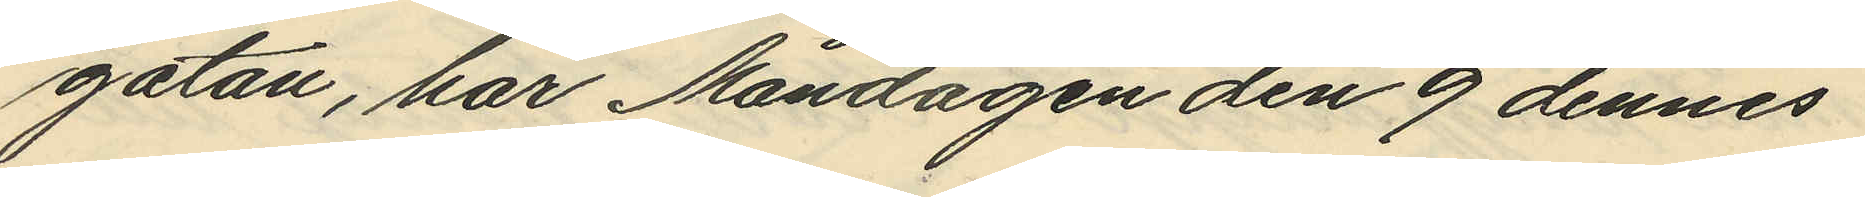gatan, har Måndagen den 9 dennes
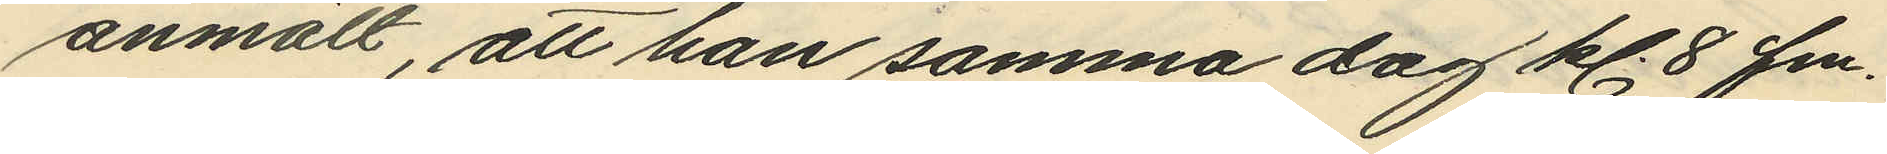anmält, att han samma dag kl. 8 fm.
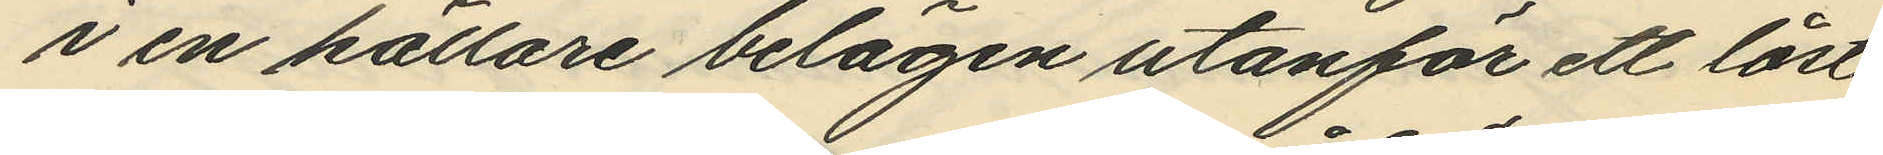i en källare belägen utanför ett låst
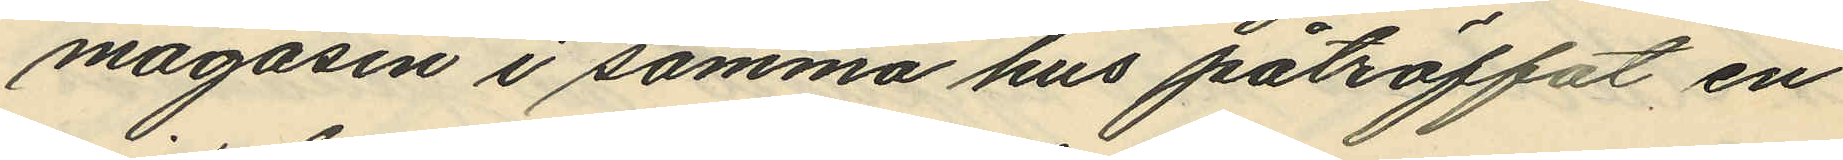magasin i samma hus påträffat en
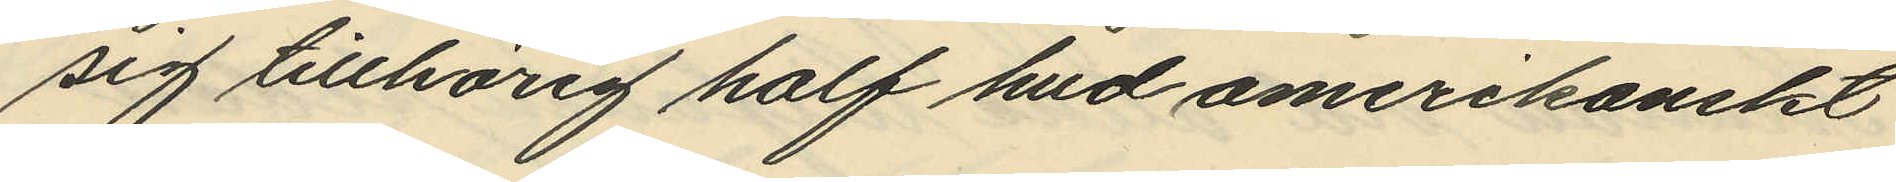sig tillhörig half hud amerikanskt
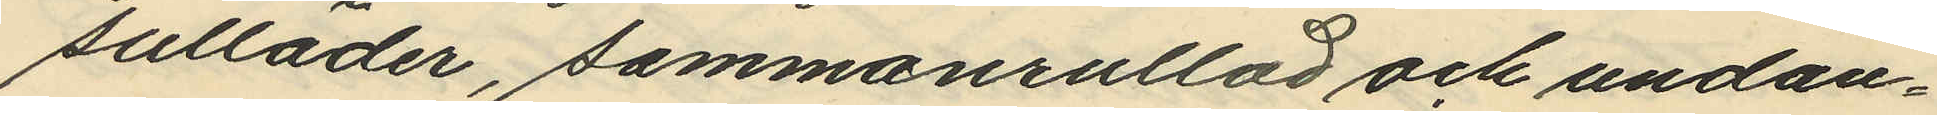sulläder, sammanrullad och undan¬
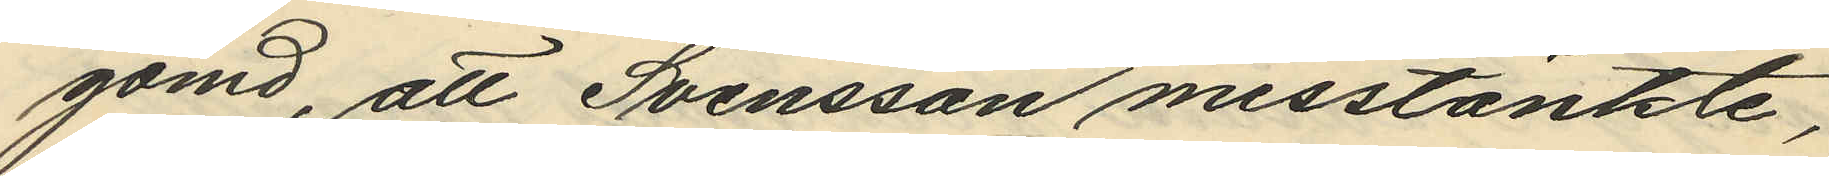gömd, att Svensson misstänkte,
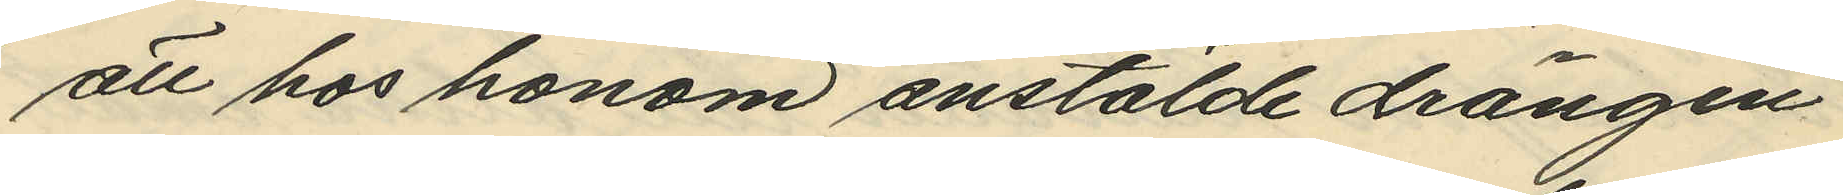att hos honom anstälde drängen
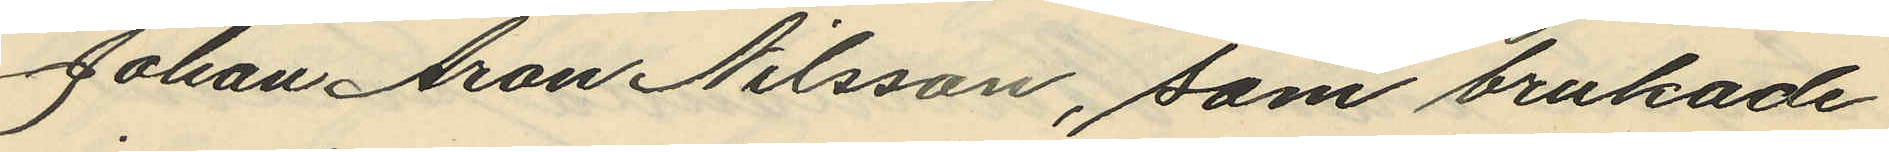Johan Aron Nilsson, som brukade
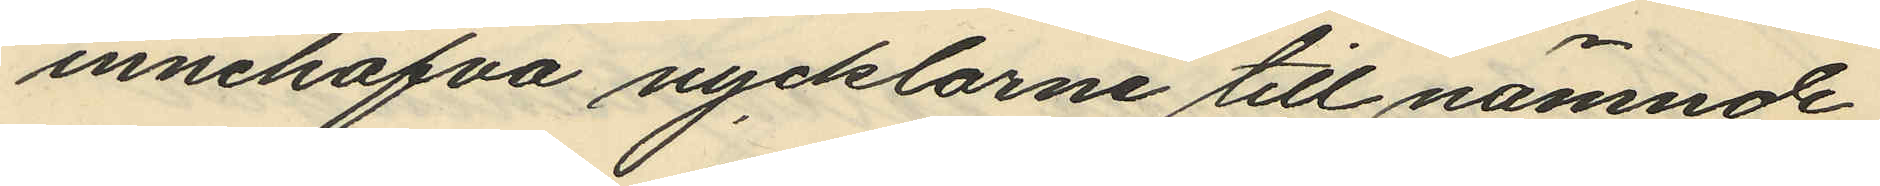innehafva nycklarne till nämnde
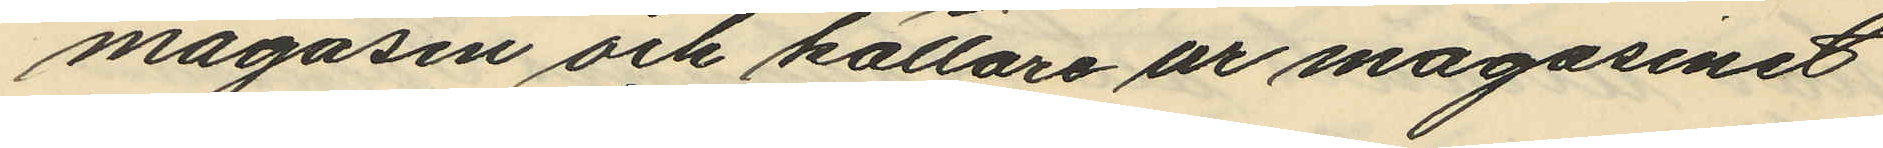magasin och källare ur magasinet
